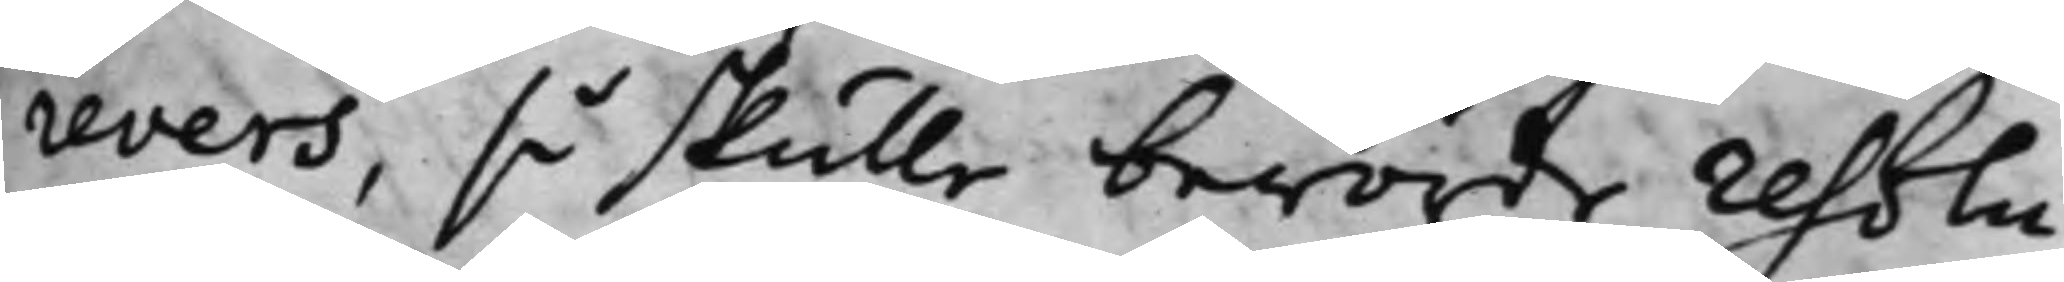revers, så skulle berörde resolu¬
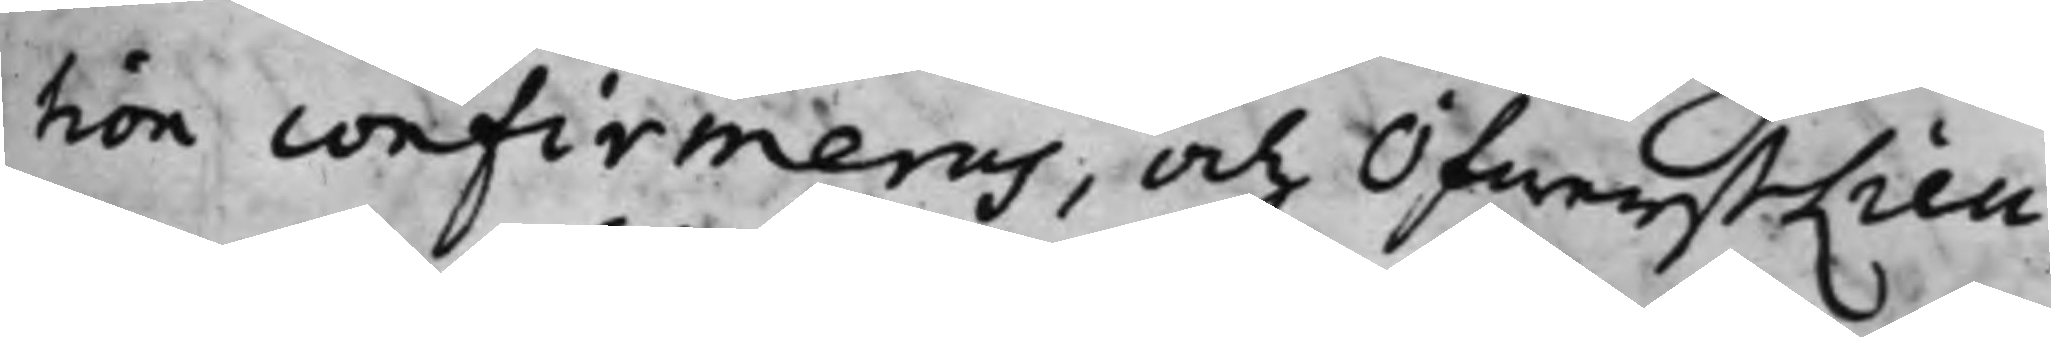tion confirmeras, och ÖfwerstLieu¬
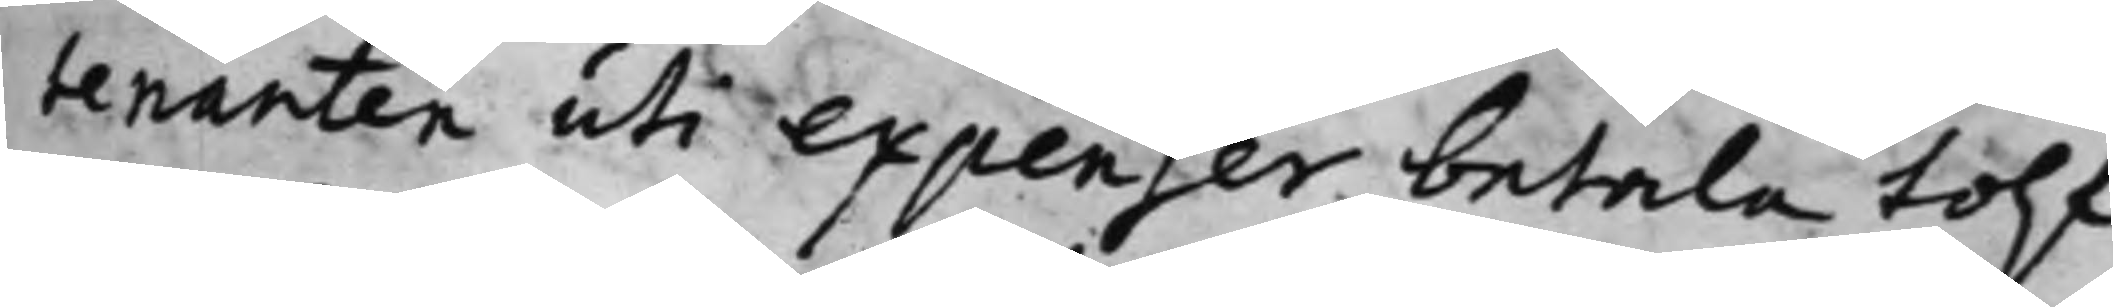tenanten uti expenser betala tolf
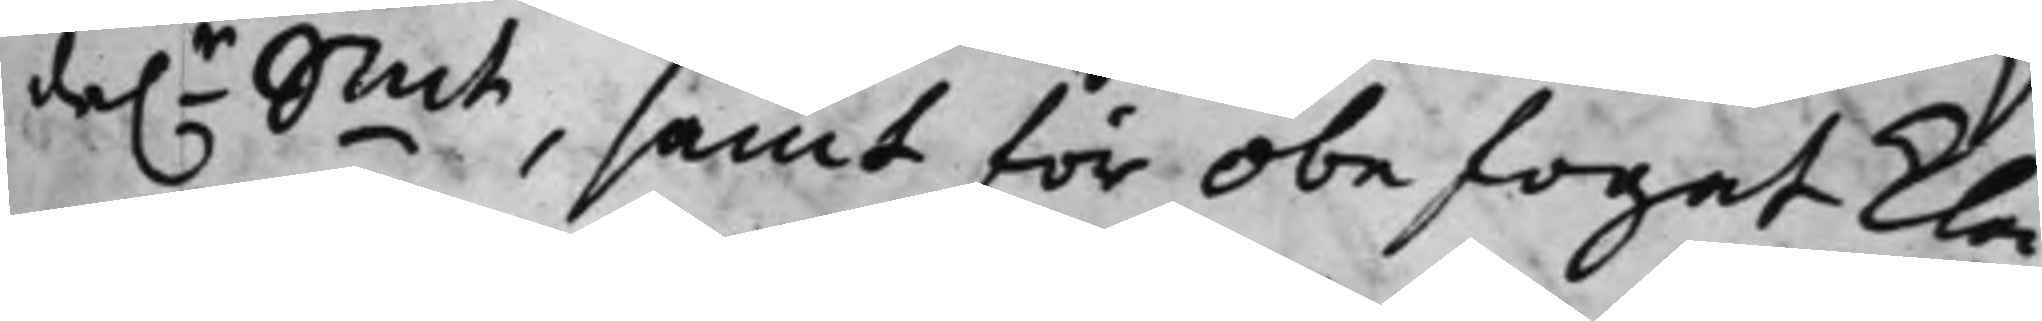da.r Smt, samt för obefogat kla¬
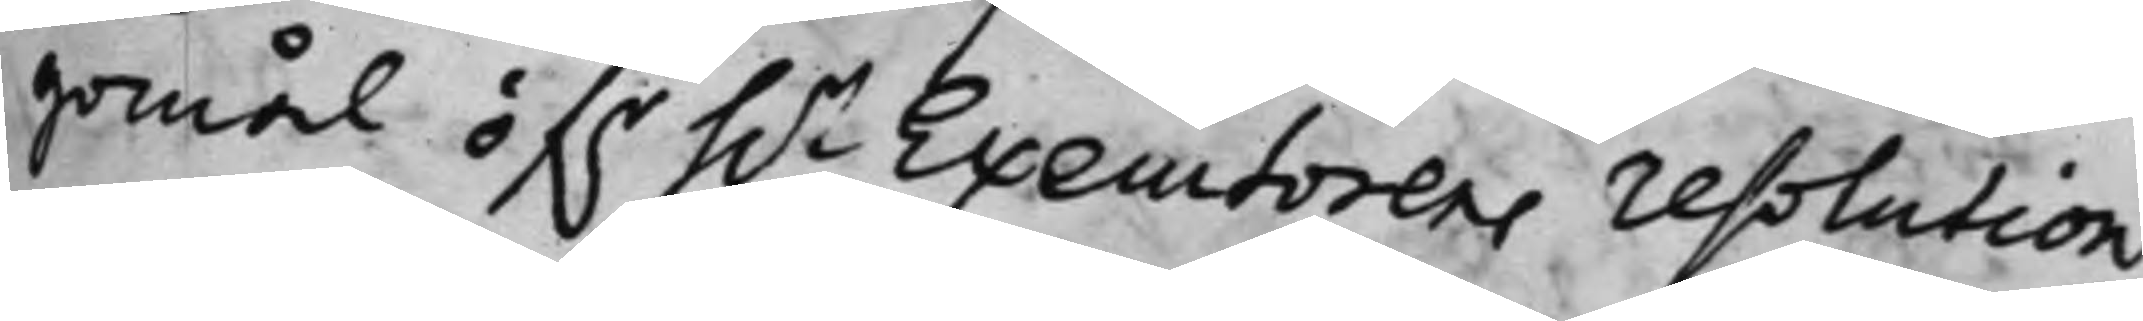gomål öf.r h.r Executorens resolution
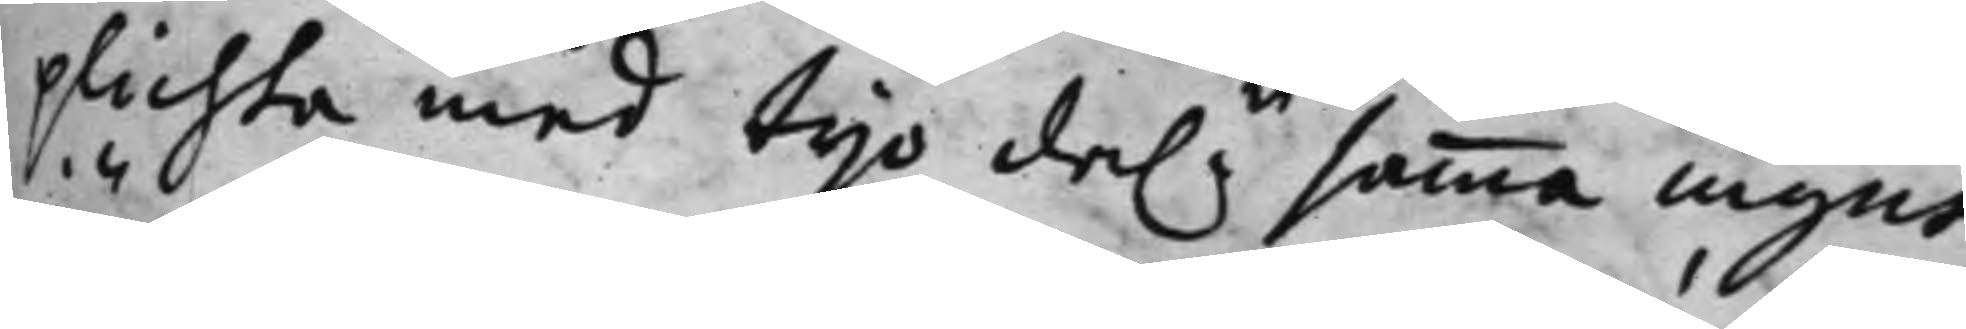plichta med tijo da.r samma mynt,
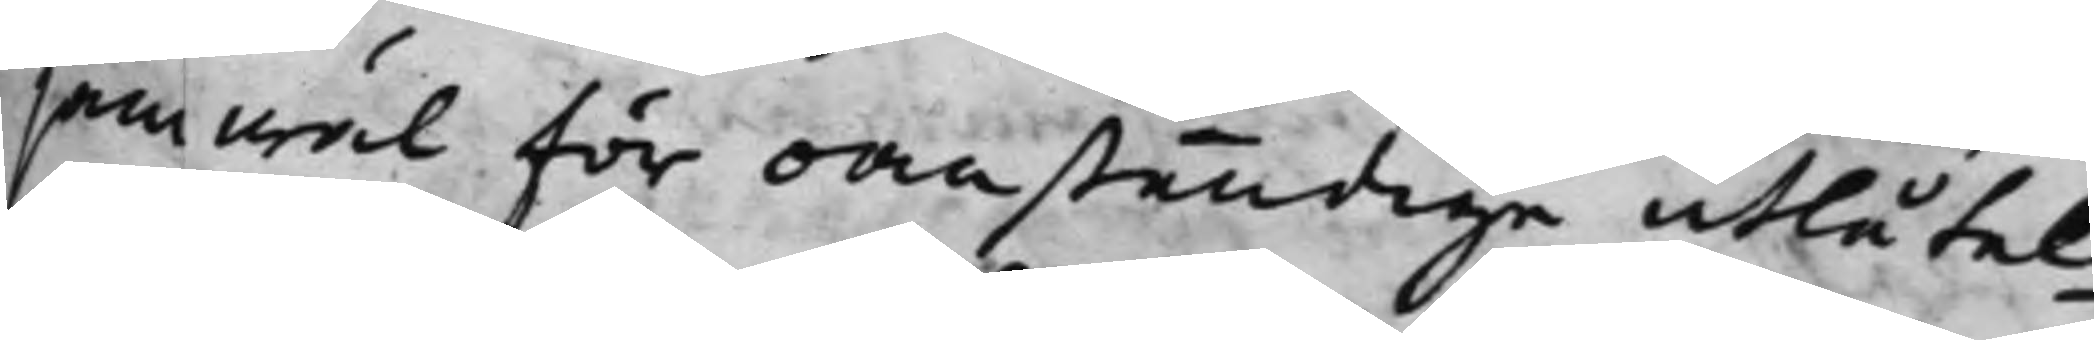jemwäl för oanständiga utlåtel¬
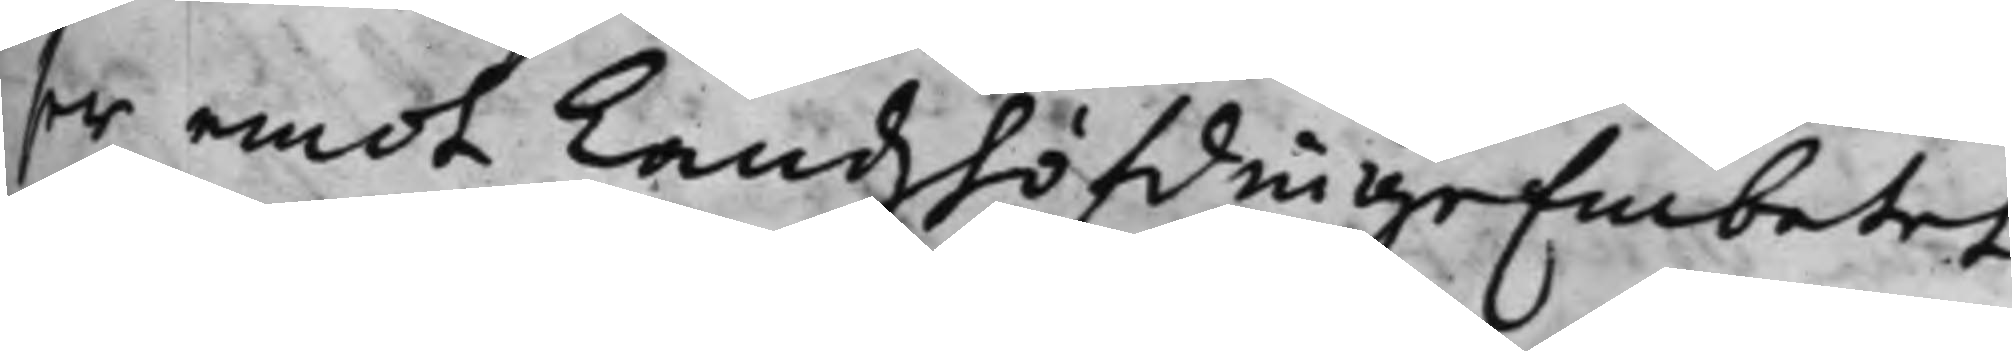ser emot LandzhöfdingeEmbetet
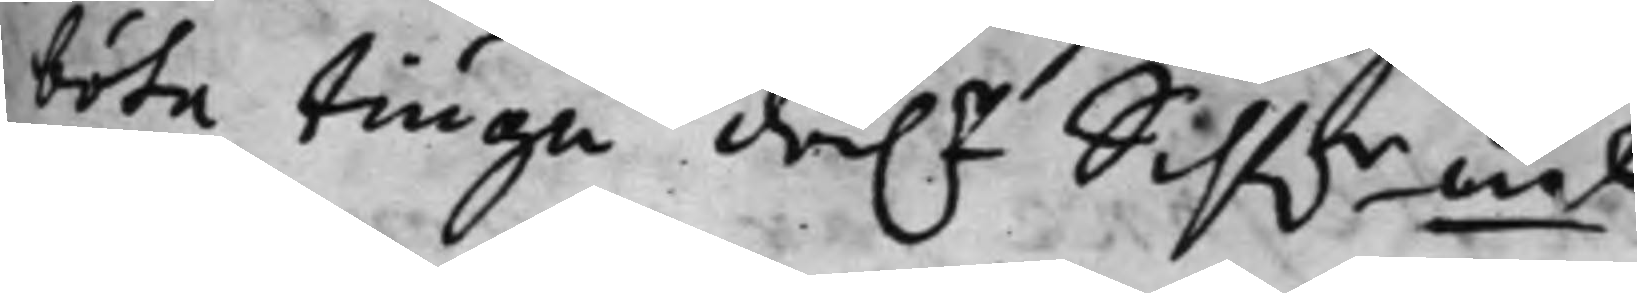böte tiugu da.r Silf.rmt.
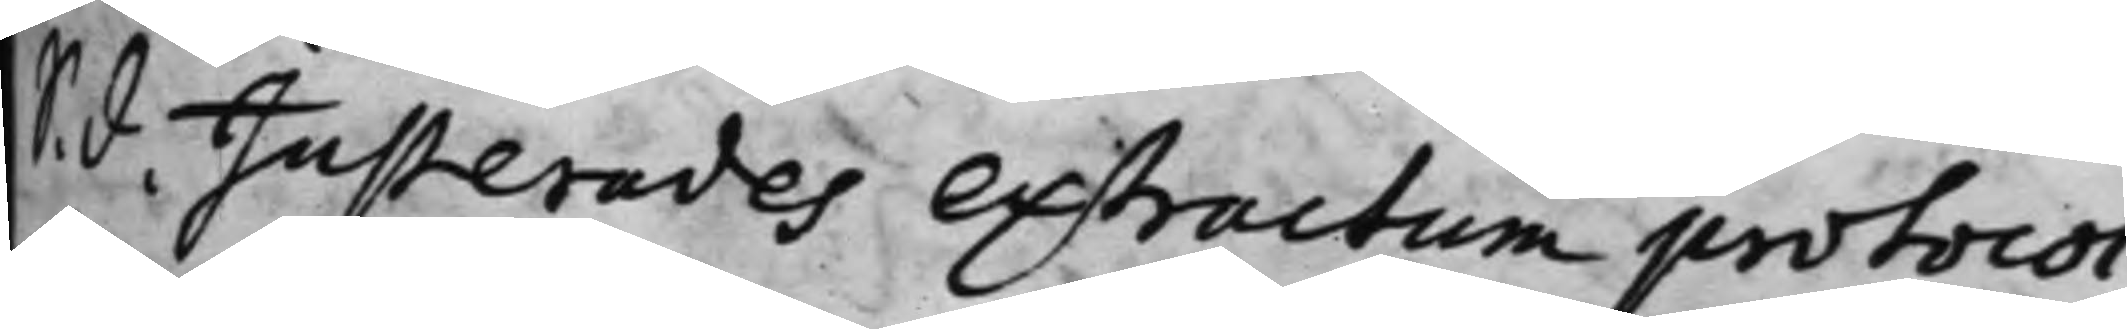S. d. Justerades extractum protocol¬
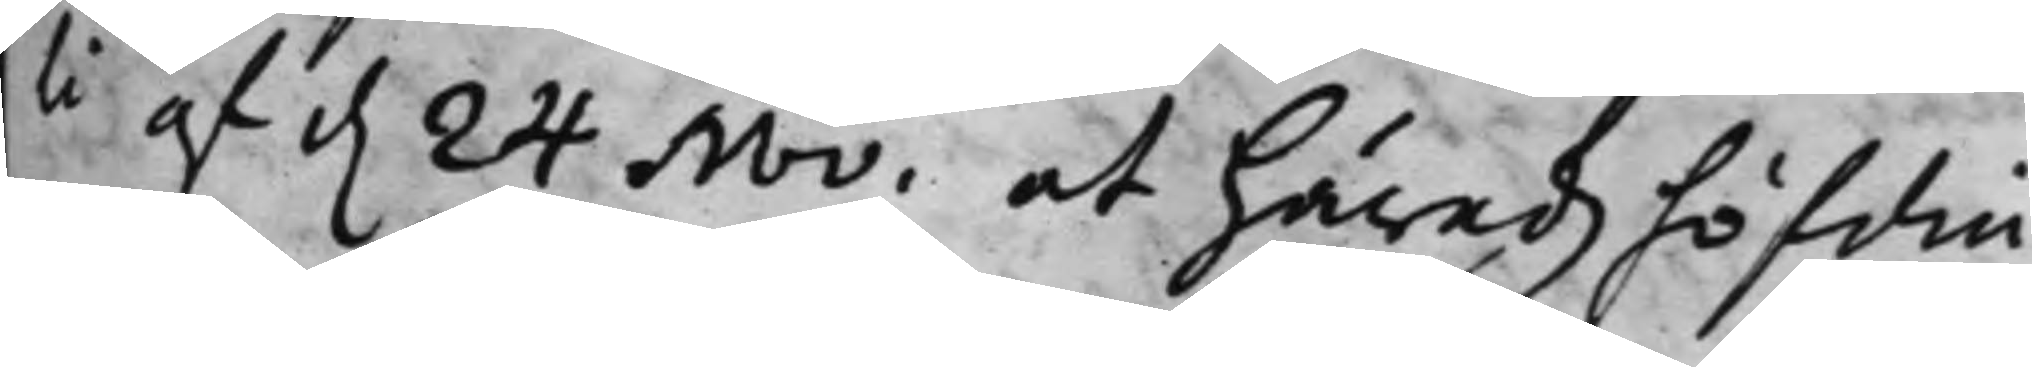li af d. 24 Nov. at Häradzhöfdin¬
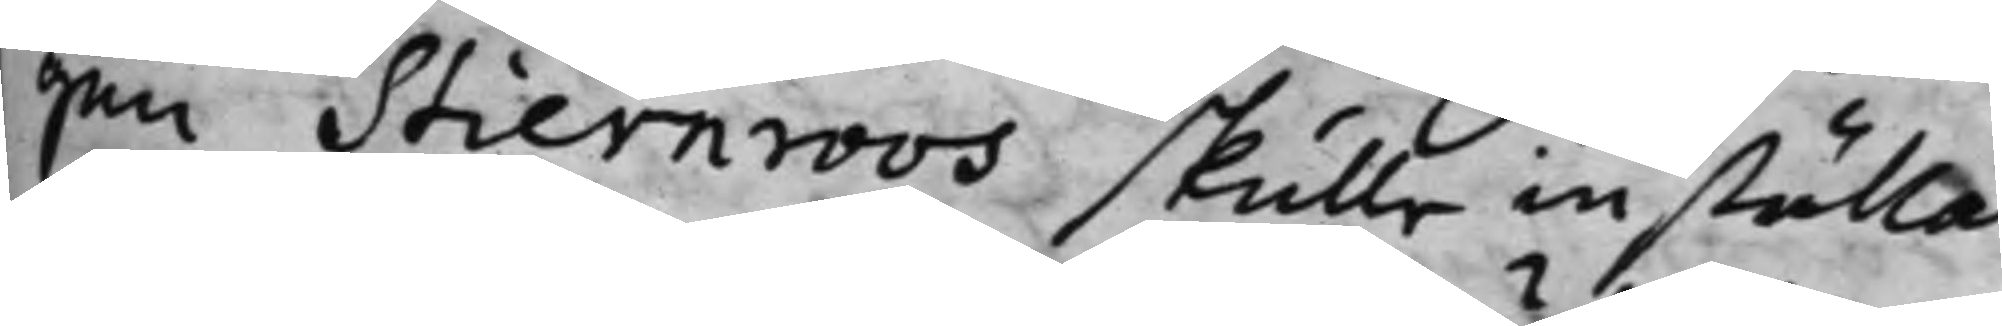gen Stiernroos skulle inställa
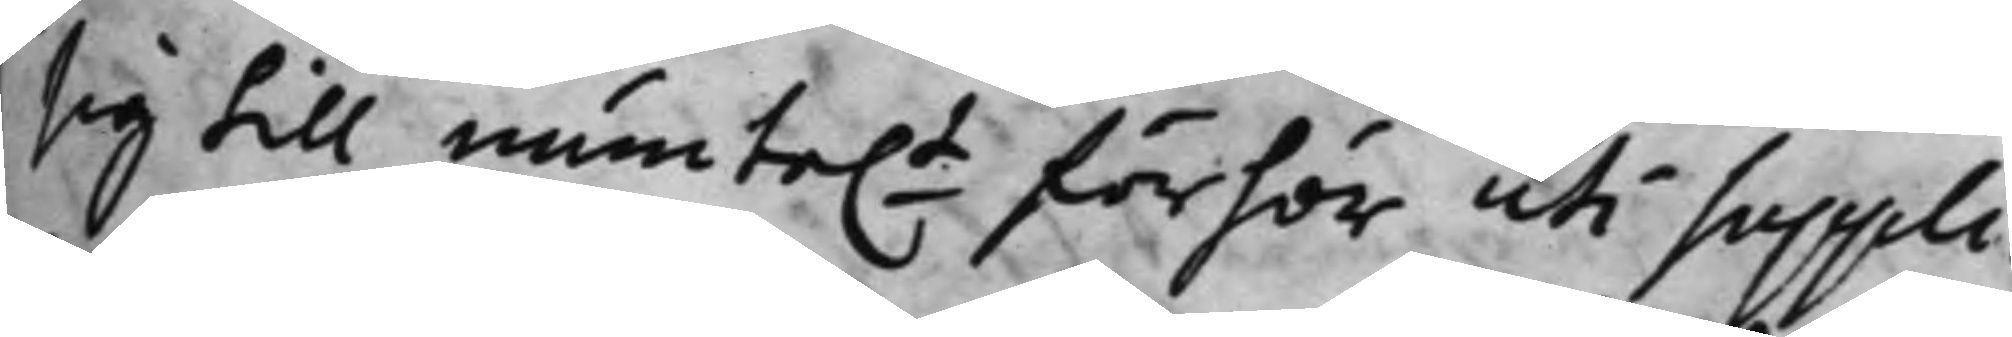sig till munte.t förhör uti Suppli¬
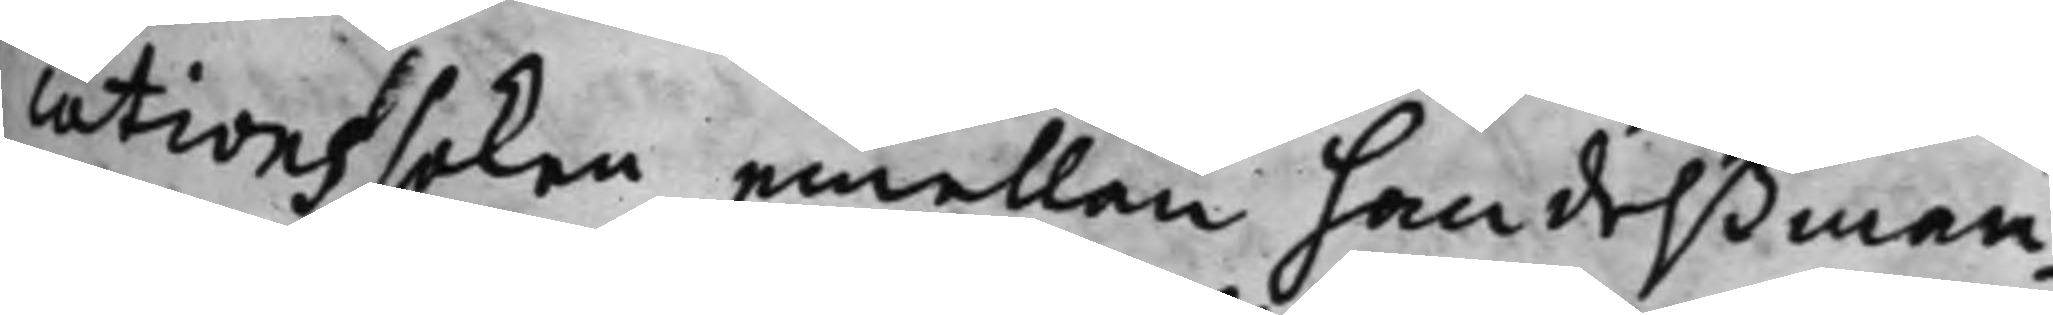cationssaken emellan handelßman¬
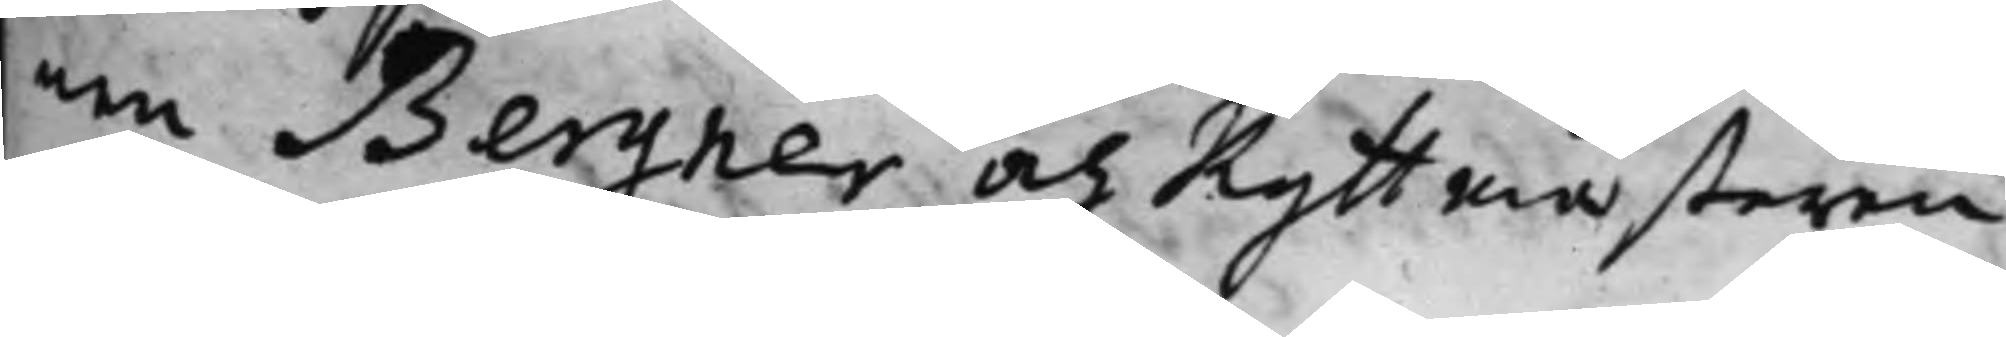nen Bergner och Ryttmästaren
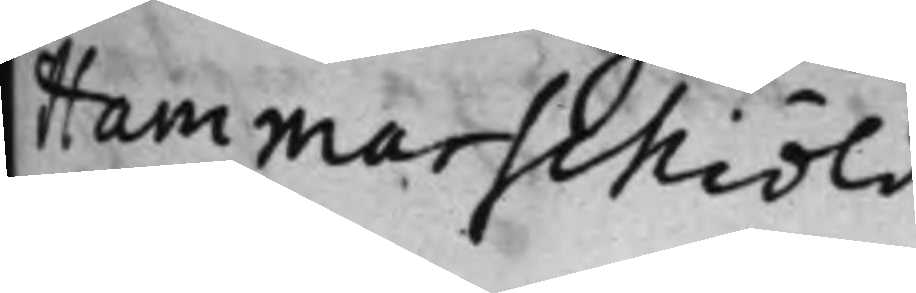Hammarschiöld.
